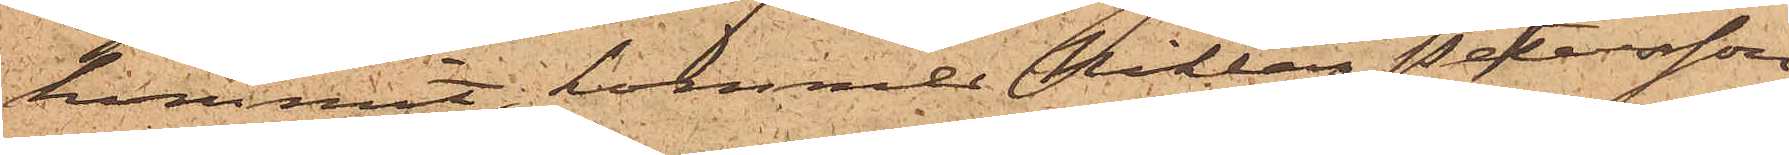kommit, kommer Niklas Petersson
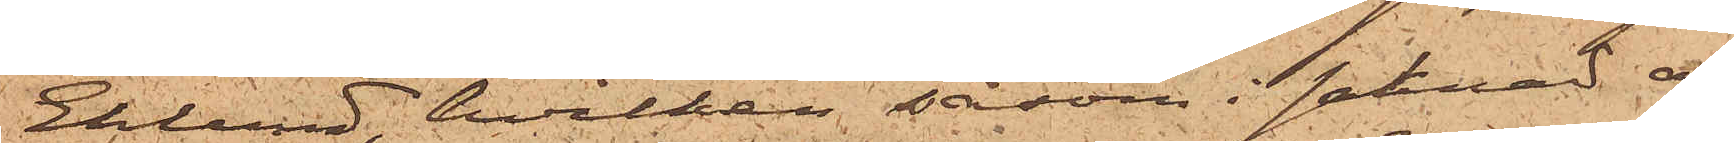Eklund, hvilken såsom i saknad af
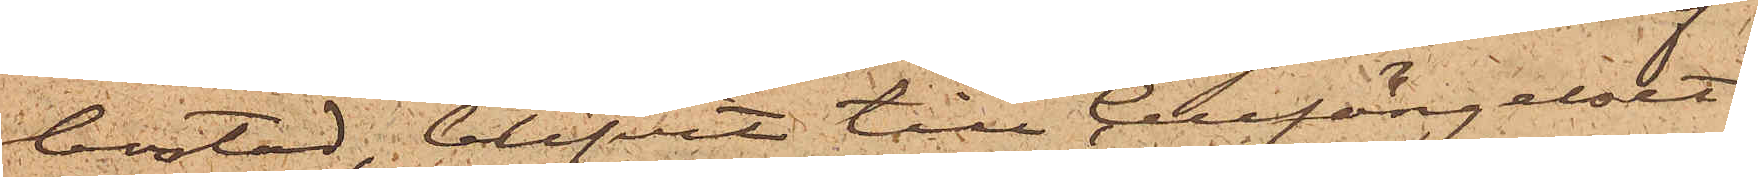bostad, blifvit till Cellfängelset
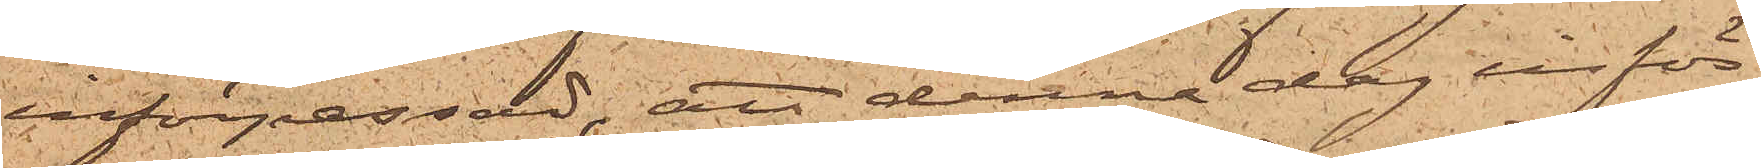införpassad, att denna dag inför
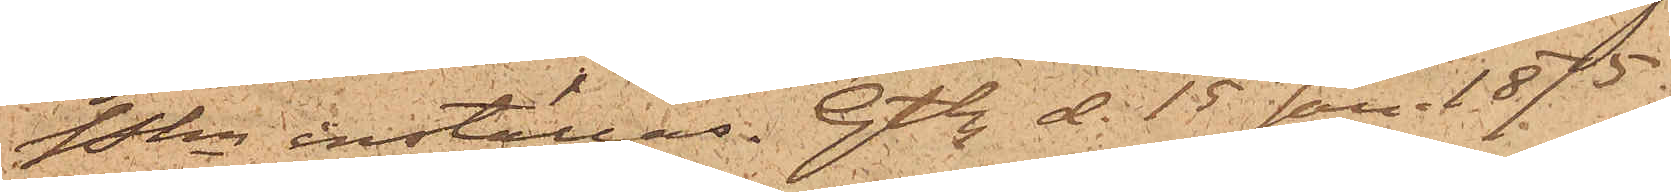Pkn inställas. Gtbg d. 15 Jan. 1875.
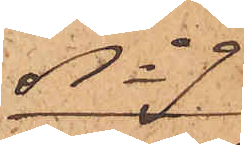No 9
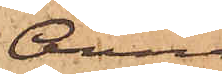Anna
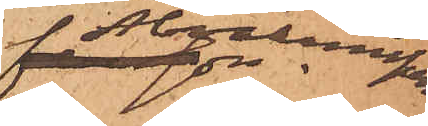Abrahamsson.
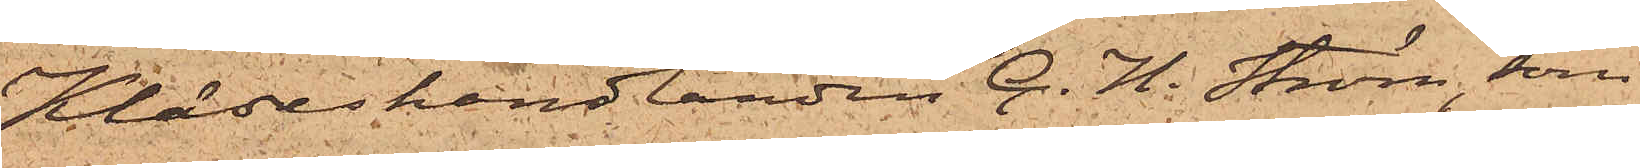Klädeshandlanden C. H. Ström, som
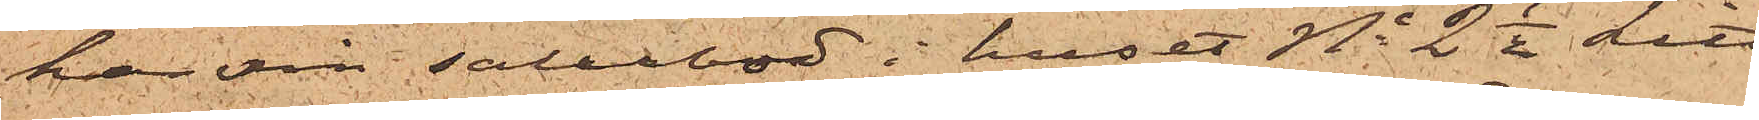har sin salubod i huset No 2 1/2 Litt
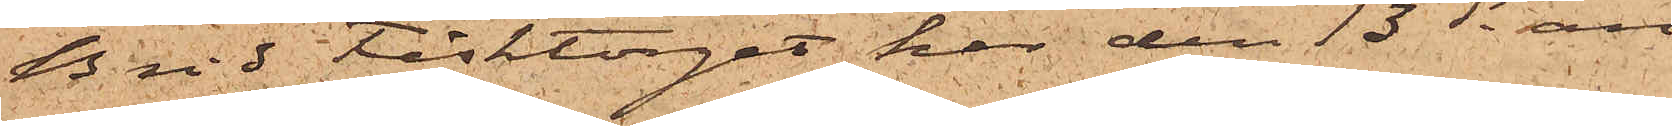B vid Fisktorget har den 13 ds an¬
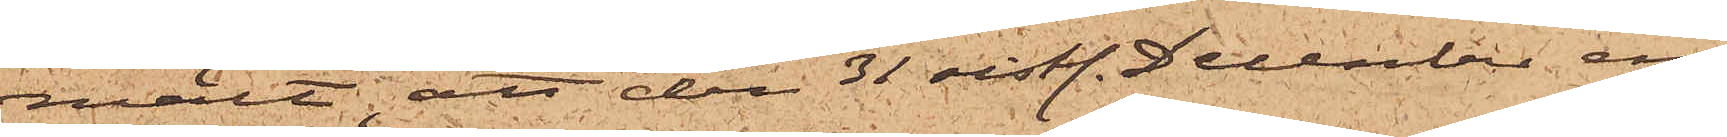mält att den 31 sistl. December, en
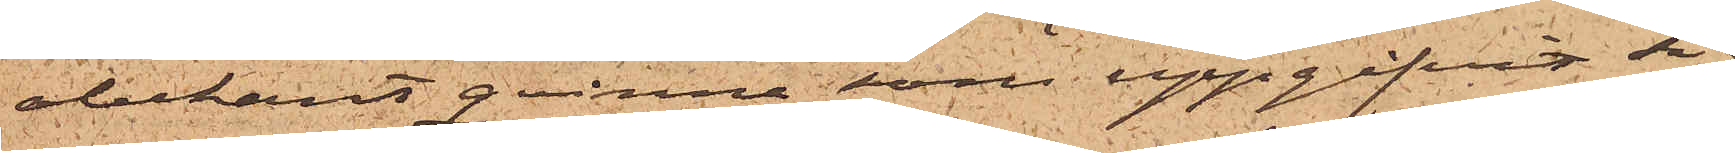obekant qvinna, som uppgifvit sig
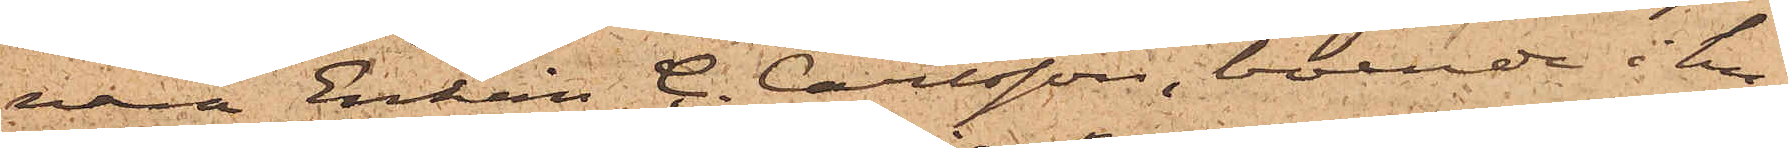vara Enkan C. Carlsson, boende i hu¬
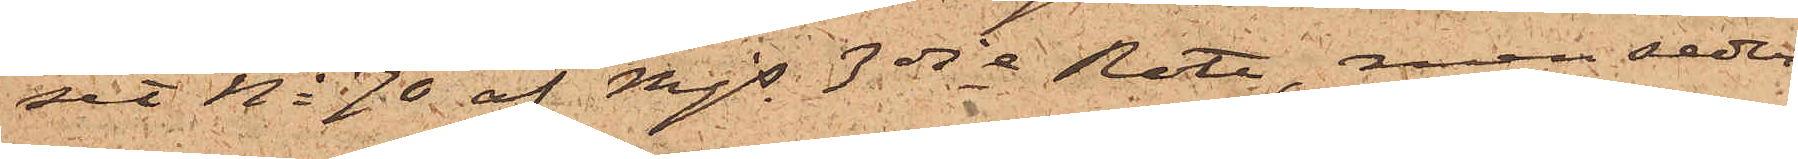set No 70 af Mjs 3dje Rote, men seder¬
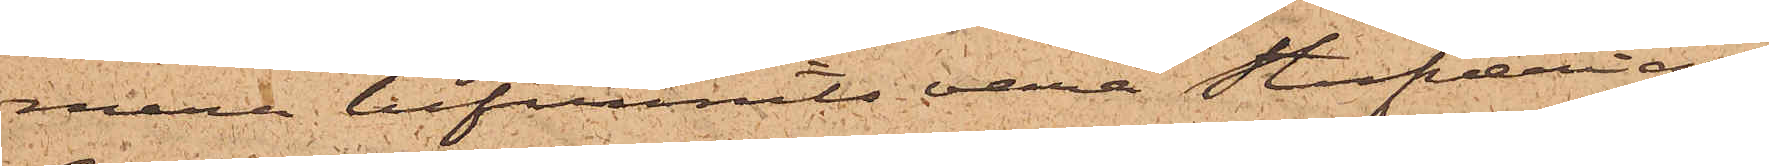mera befunnits vara stufveriar¬
